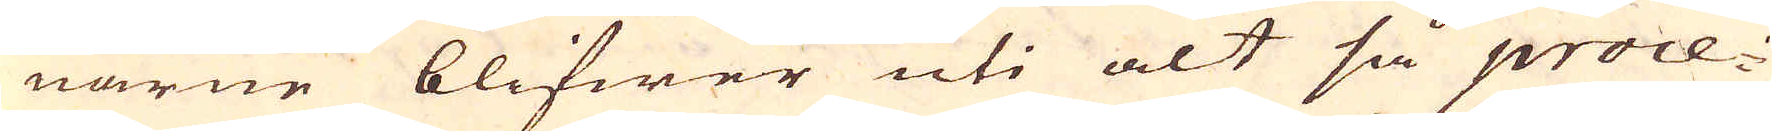narne blifwer uti alt så proce-
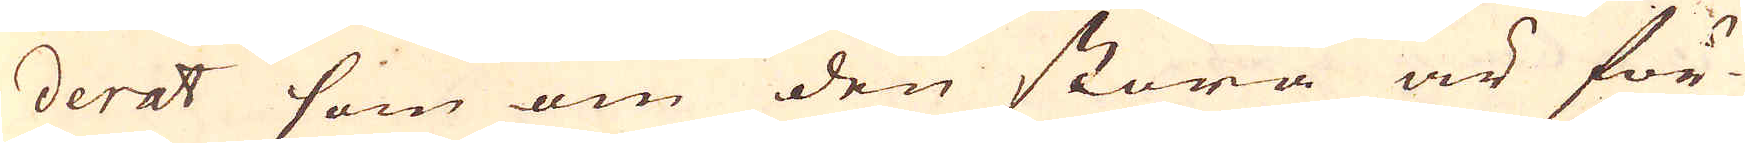derat som om den stora är för-
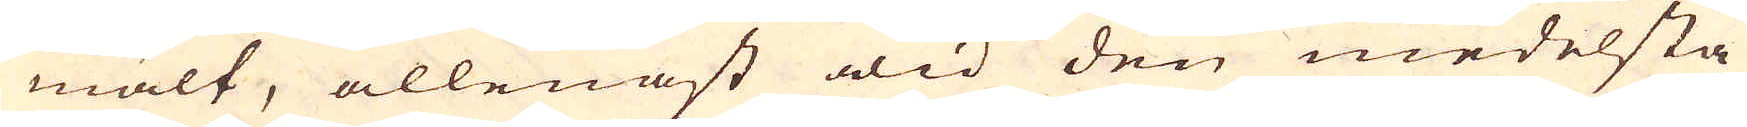mält, allenast wid den medelsta
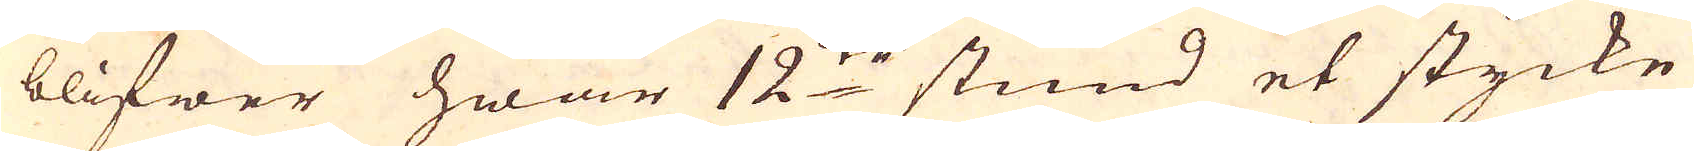blifwer hwar 12:te stund et stycke
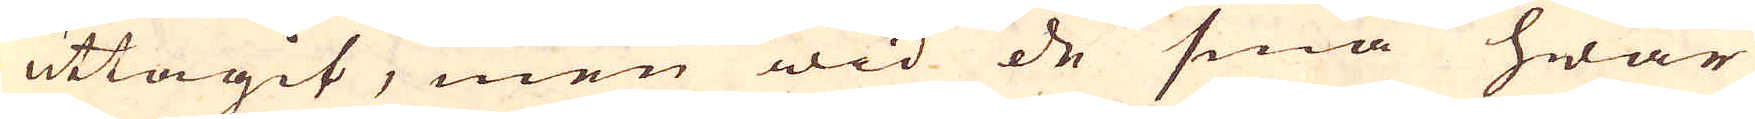uttagit, men wid de små hwar
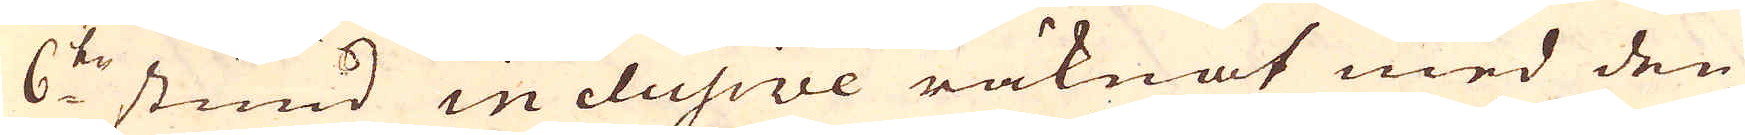6:te stund in clusive räknat med den
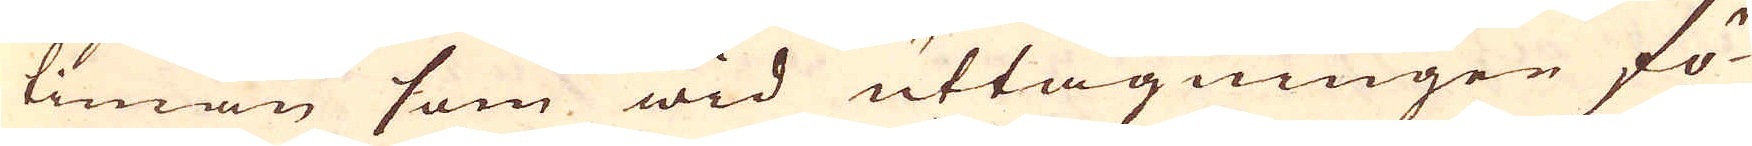timan som wid uttagningen fö-
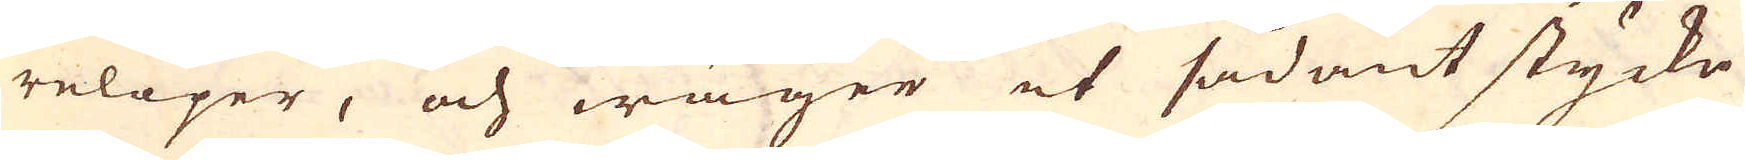relöper, och wäger et sådant stycke
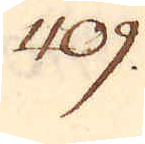409.
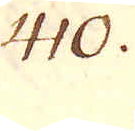410.
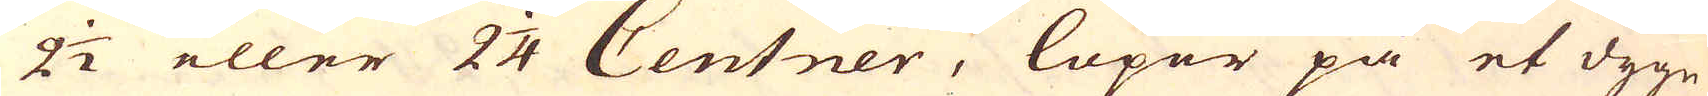2 1/2 eller 2 1/4 Centner, löpor på et dygn
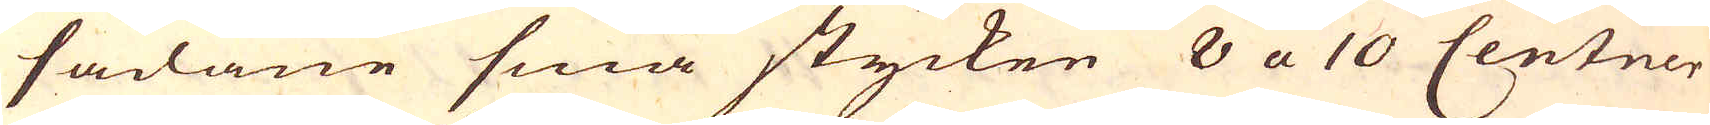sådane små stycken 8 a 10 Centner
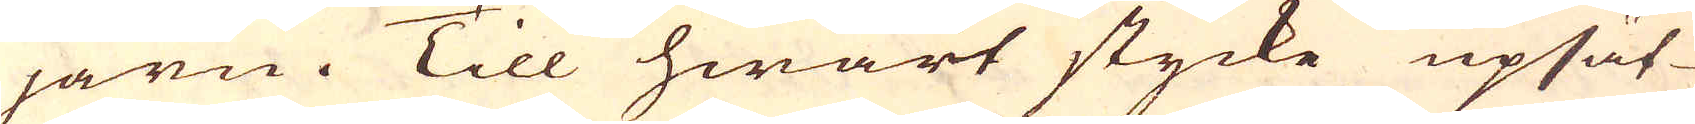järn. Till hwart stycke upsät-
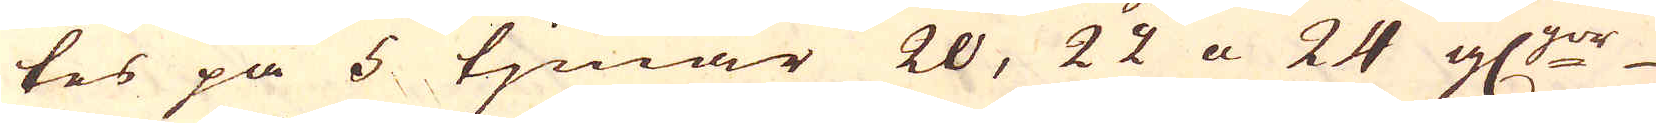tes på 5 tjmar 20, 22 a 24 gl:ror
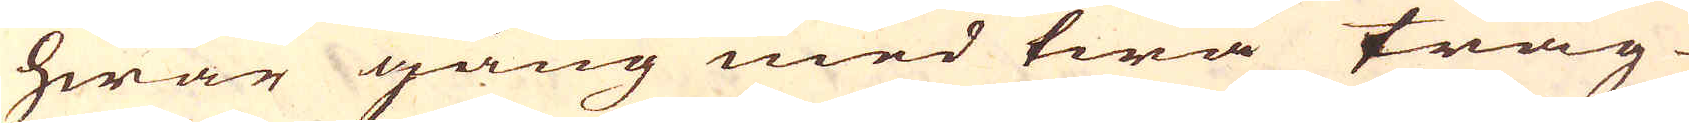hwar gång med twå tråg
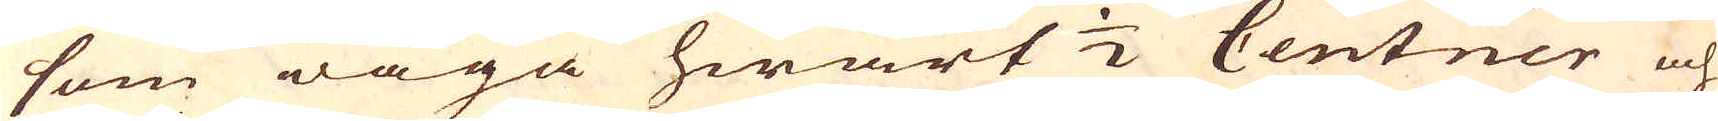som wäga hwart 1/2 Centner och
